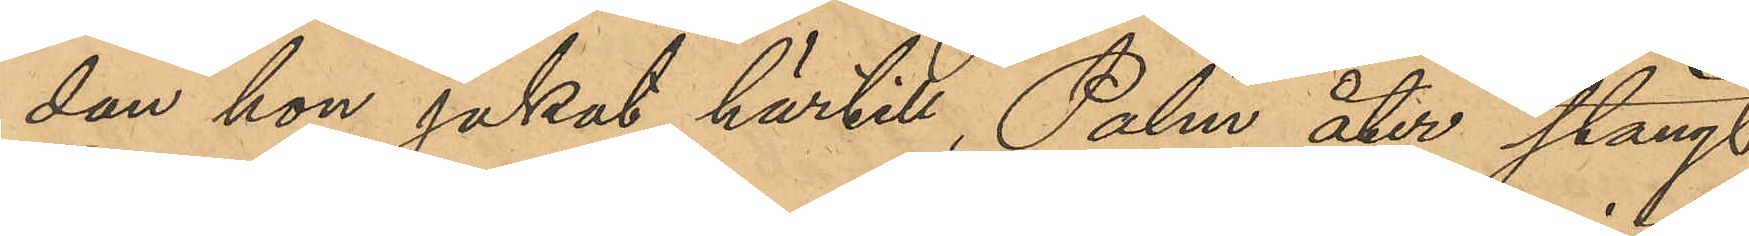dan hon jakat härtill, Palm åter stängt
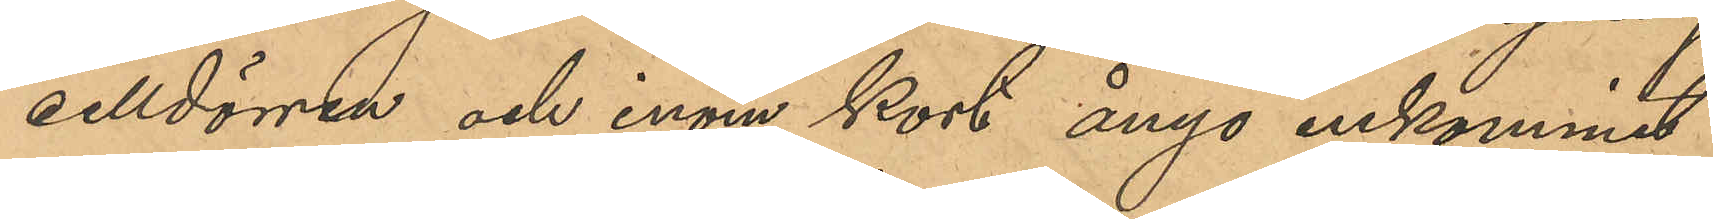celldörren och inom kort ånyo inkommit
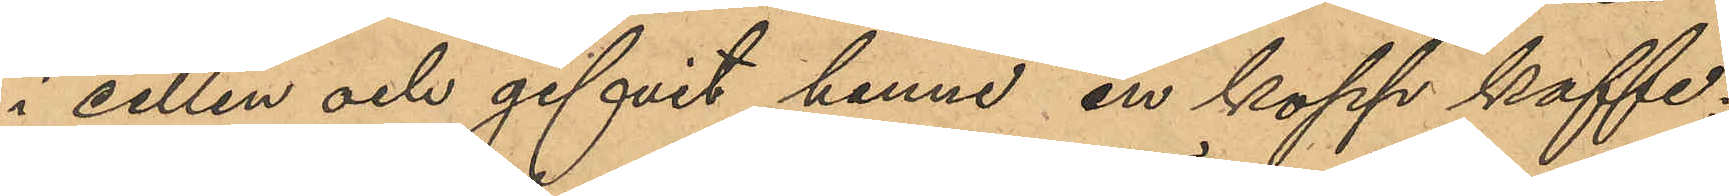i cellen och gifvit henne en kopp kaffe;
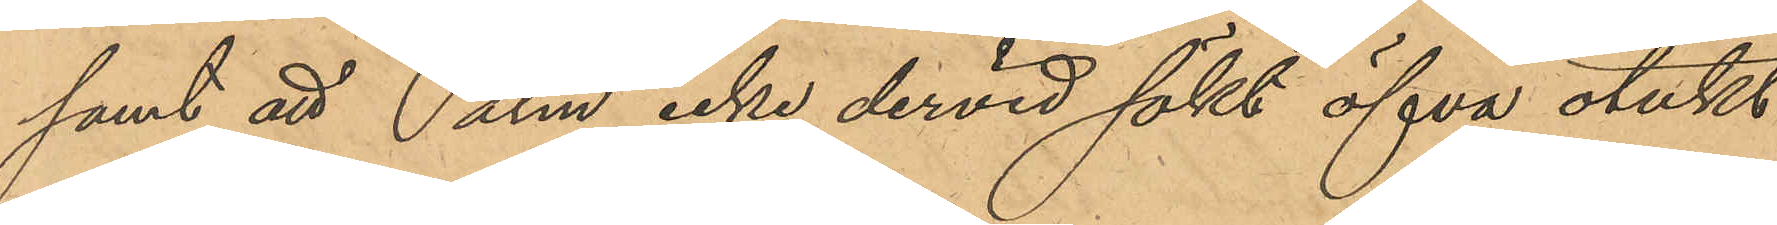samt att Palm icke dervid sökt öfva otukt
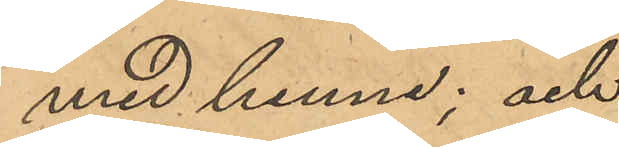med henne; och
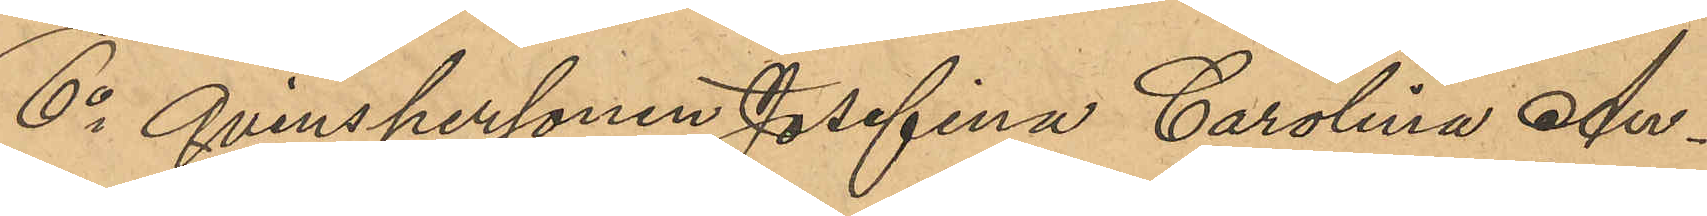6o Qvinspersonen Josefina Carolina An¬
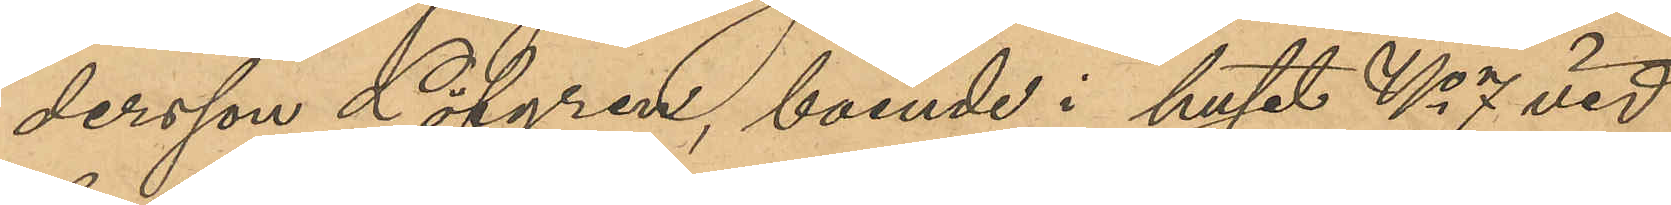dersson Löfgren, boende i huset No 7 vid
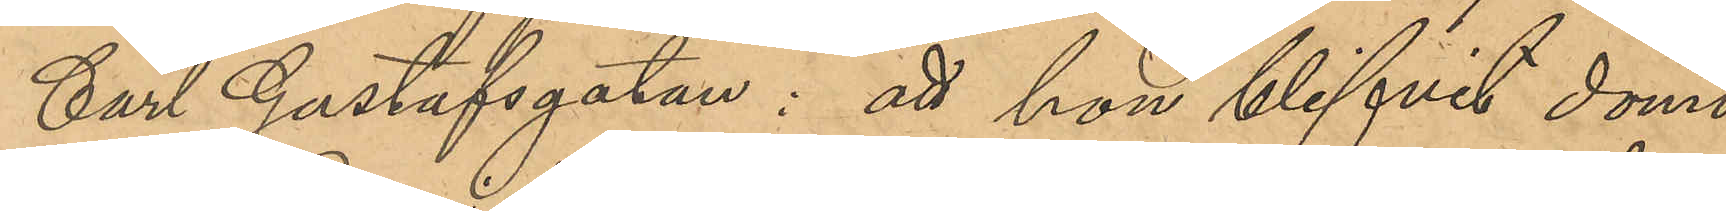Carl Gustafsgatan; att hon blifvit dömd
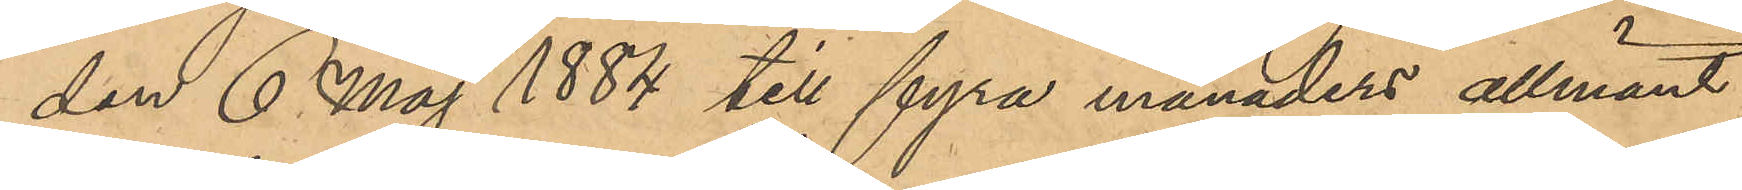den 6 Maj 1884 till fyra månaders allmänt
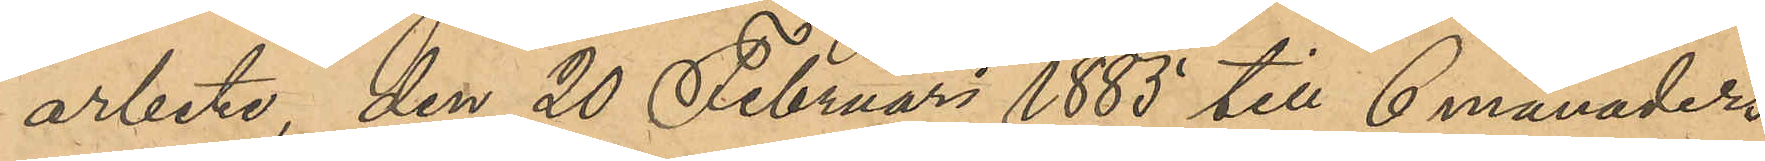arbete, den 20 Februari 1885 till 6 månaders
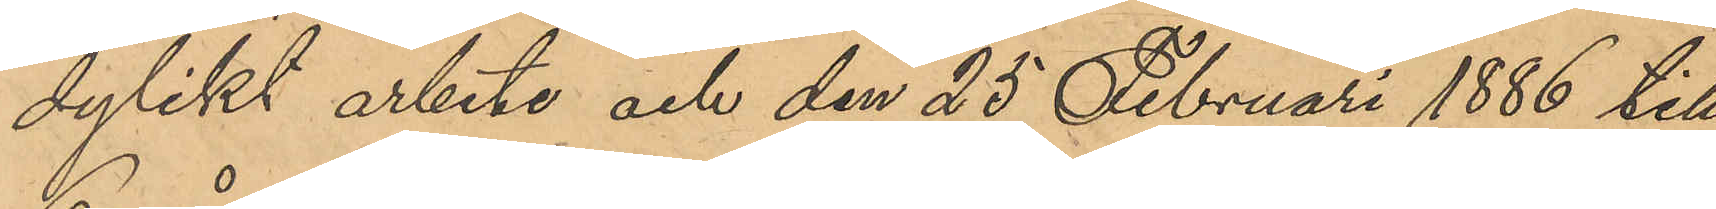dylikt arbete och den 25 Februari 1886 till
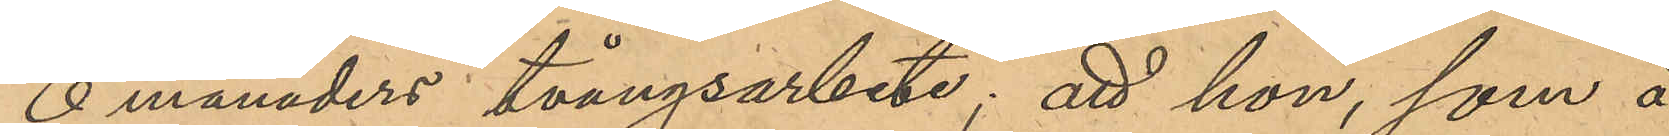6 månaders tvångsarbete; att hon, som å
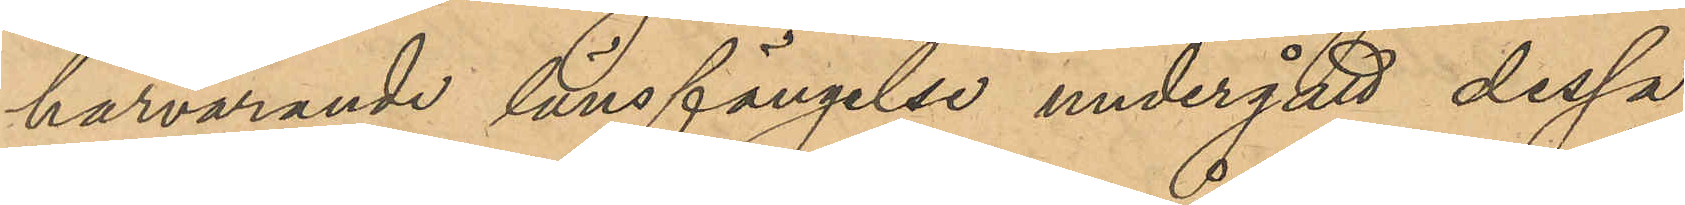härvarande länsfängelse undergått dessa
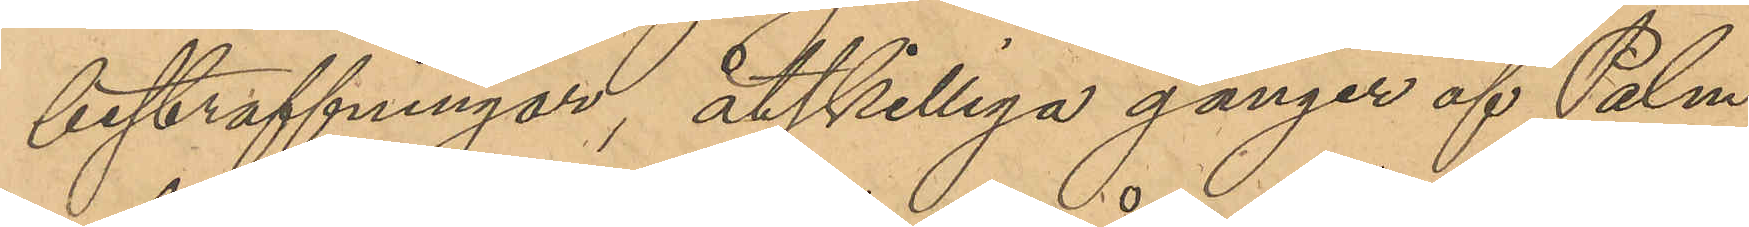bestraffningar, åtskilliga gånger af Palm
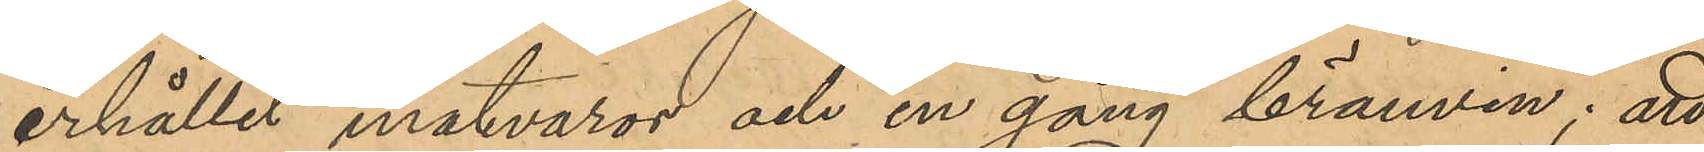erhållit matvaror och en gång brännvin; att
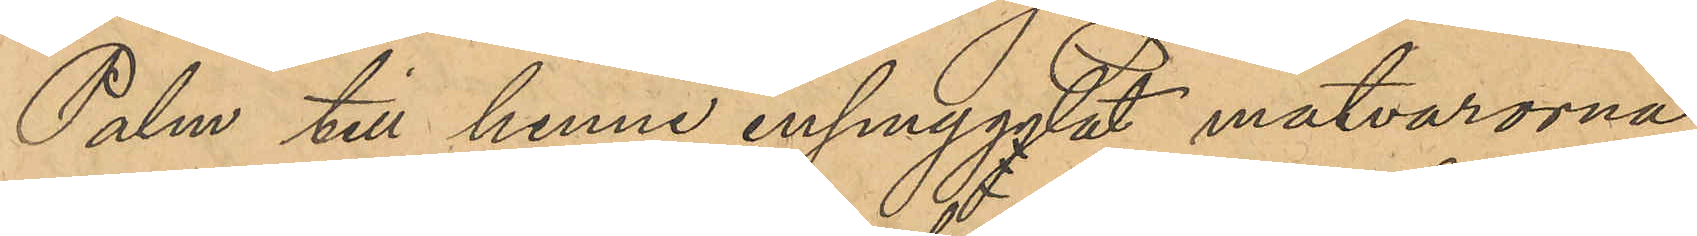Palm till henne inmygglat matvarorna
